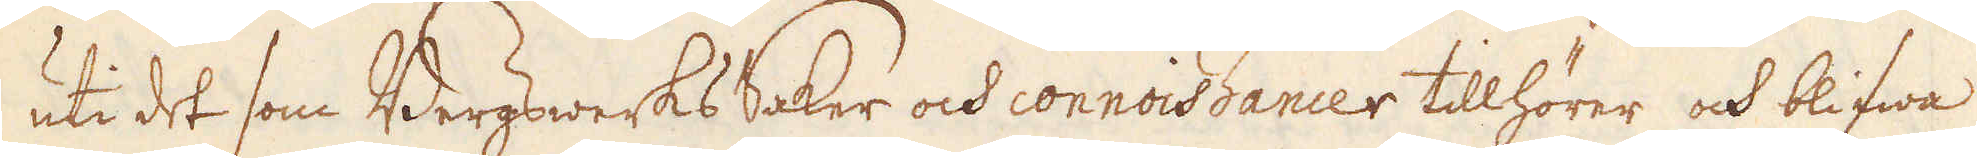uti det som Bergwerks Saker ock connoissancer tillhörer och blifwa
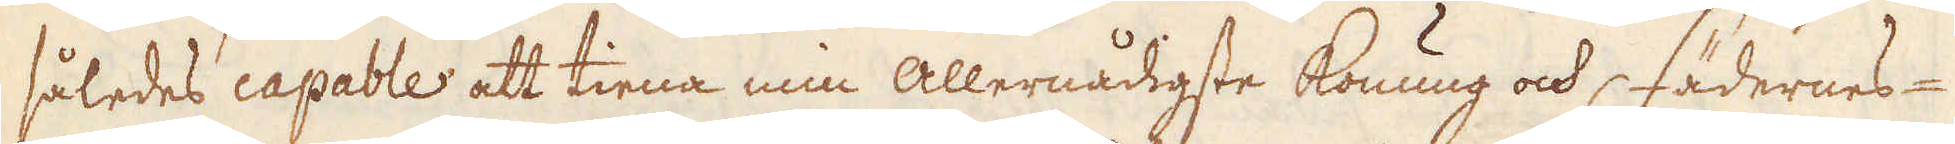således capable att tiena min Allernådigste konung och, fädernes
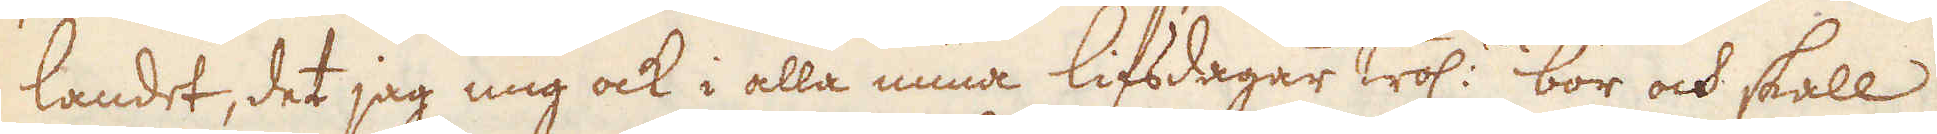landet, det jag mig ock i alla mina lifsdagar trol:n bör ock skall
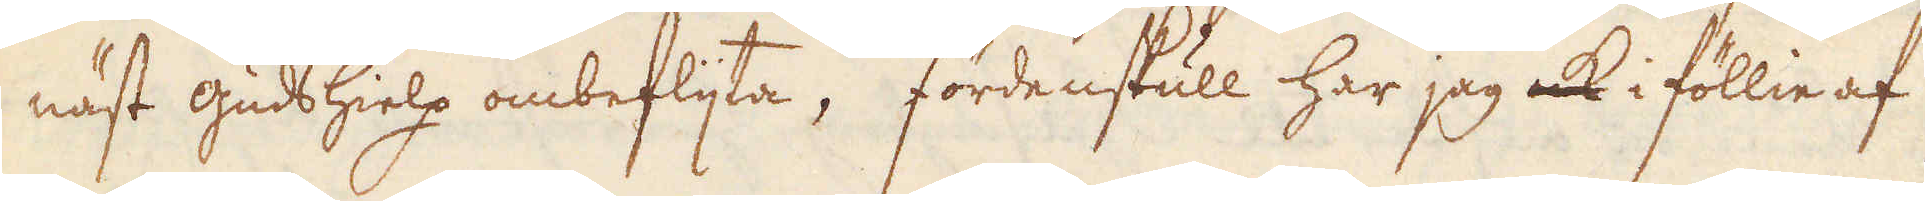näst guds hielp ombeflijta; fördenskull har jag i föllie af
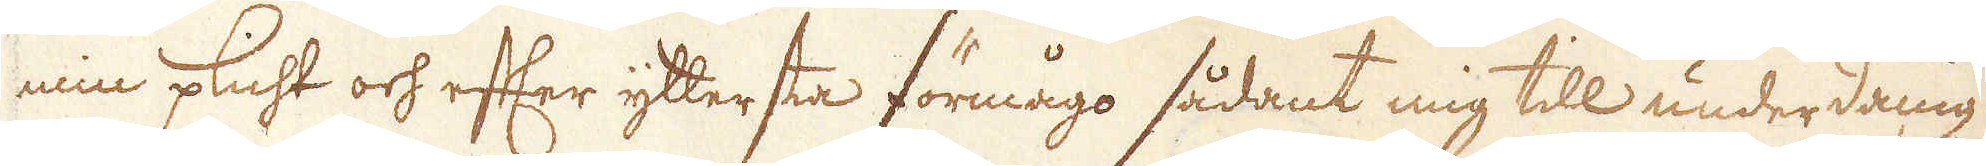min plicht ock efter yttersta förmågo sådant mig till underdånig
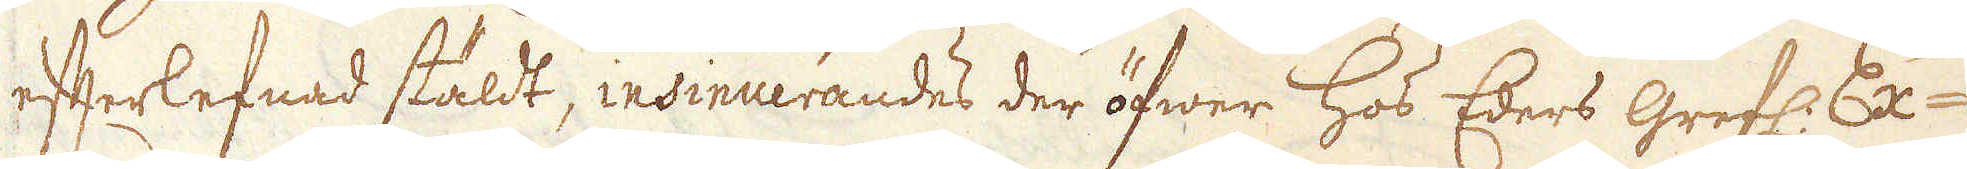efterlefnad stäldt, insinuerandes der öfwer hos Eders grefl: Ex-
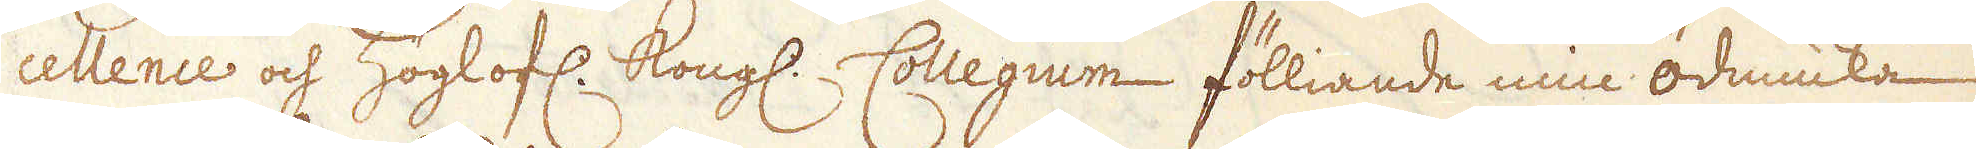cellence och Höglofl. Kongl. Collegium fölliande min ödmicka
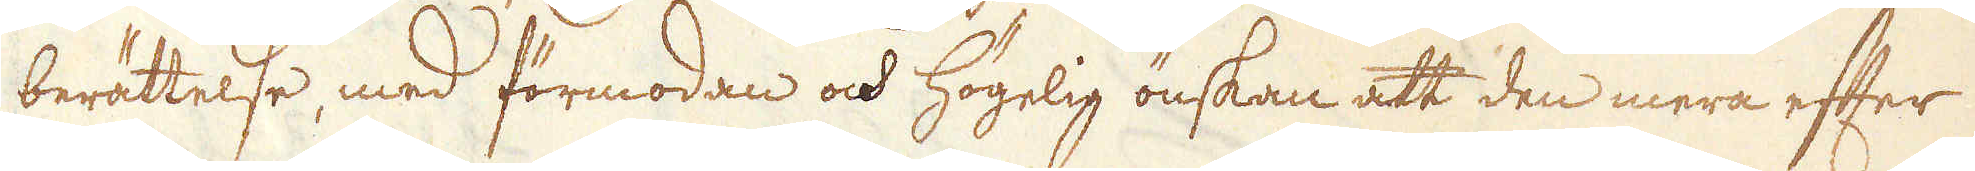berättelse, med förmodan och högelig önskan att den mera efter
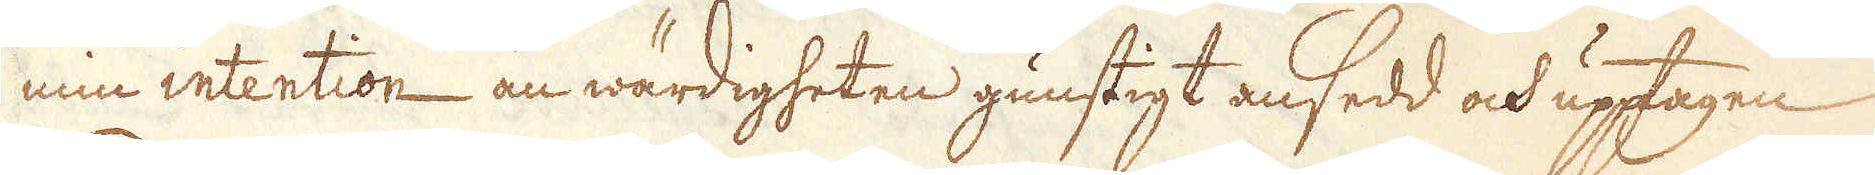min intention än wärdigheten gunstigt ansedd och upptagen
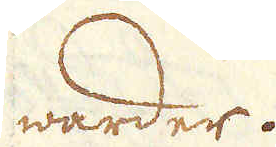warder.
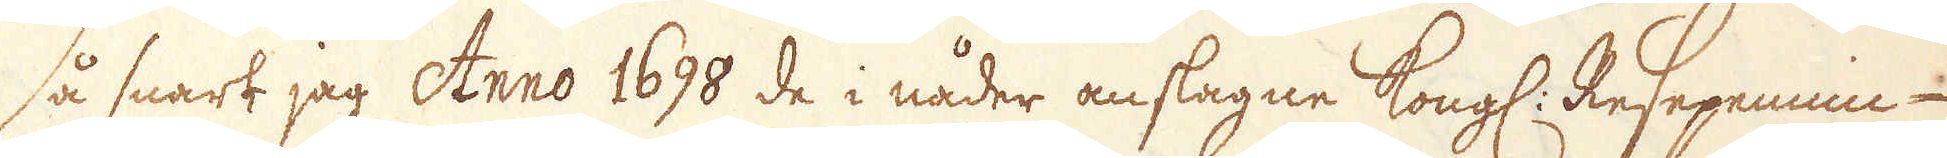Så snart jag Anno 1698 de i nåder anslagne Kongl. Resepennin-
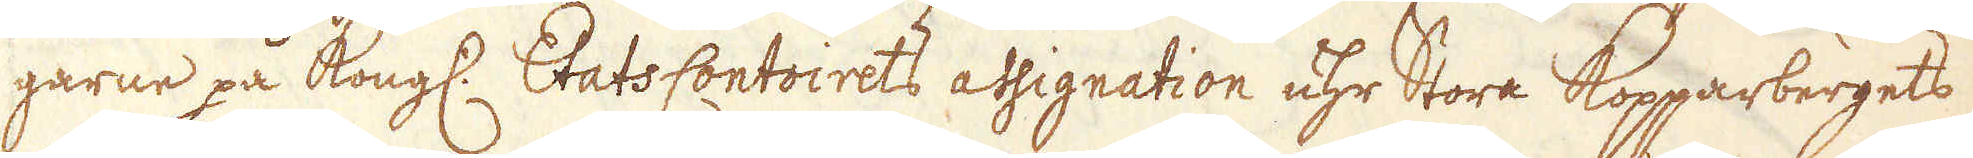garne på Kongl:. EtatsContoirets assignation uhr Stora Kopparbergets
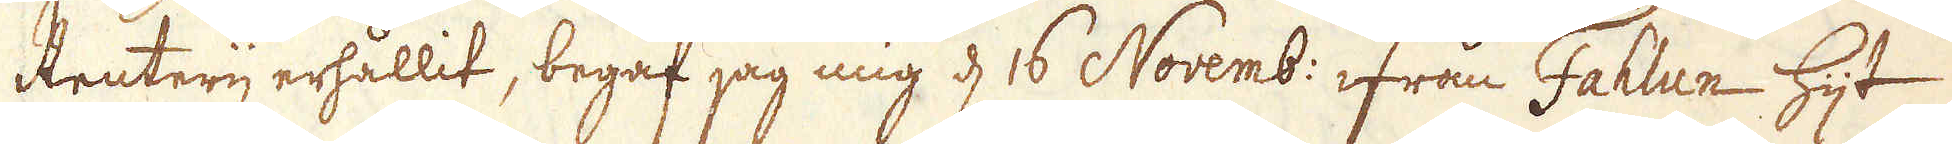Kruteri erhållit, begaf jag mig d 16 Novemb: ifrån Fahlun hijt
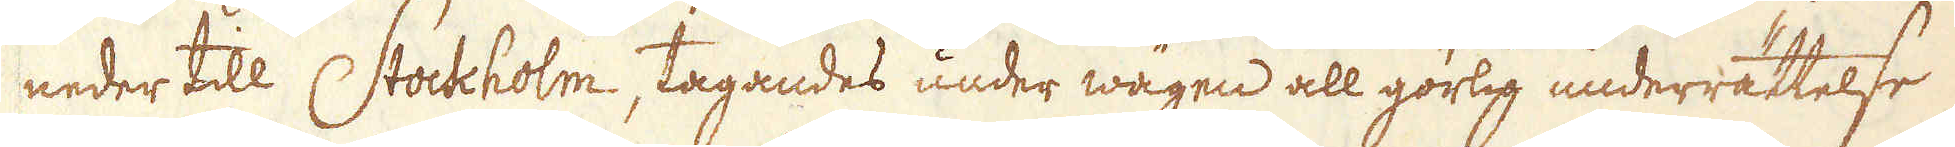neder till Stochholm, tagandes under wägen all görllg underrättelse
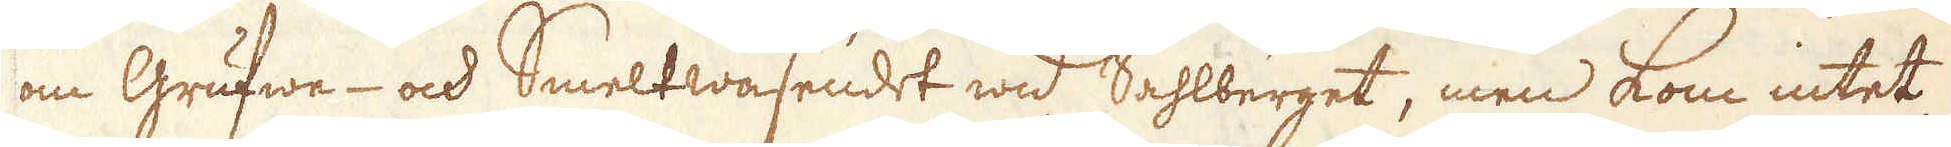om Grufwe- och Smeltwäsendet wid Sahlberget, men kom intet
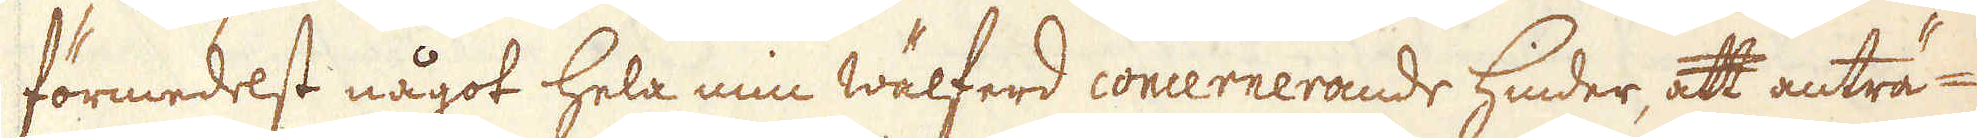förmedest något hela min Wälferd concernerande hinder, att anträ-
